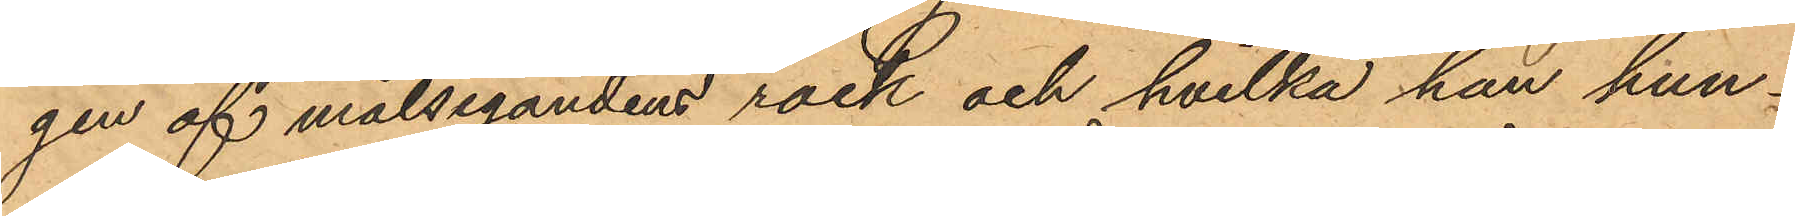gen af målsegandens rock och hvilka han hun¬
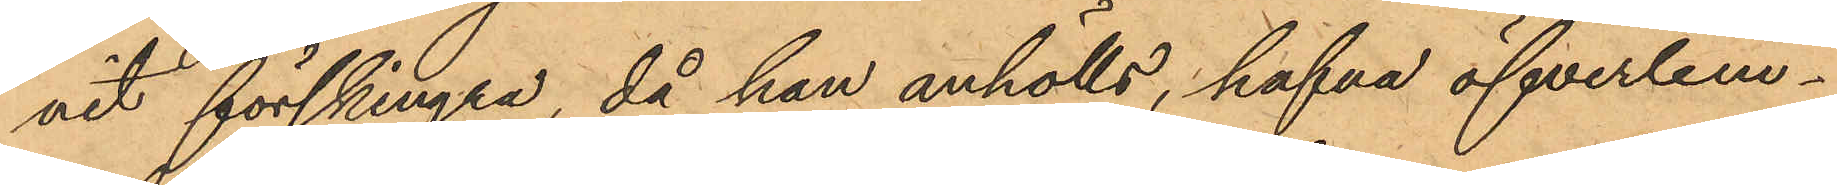nit förskingra, då han anhölls, hafva öfverlem¬
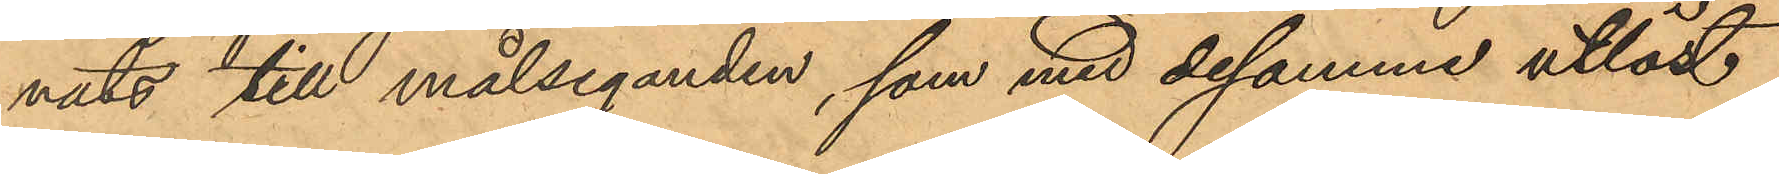nats till målseganden, som med desamme utlöst
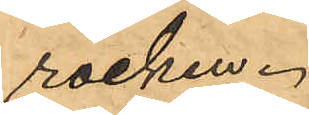rocken.
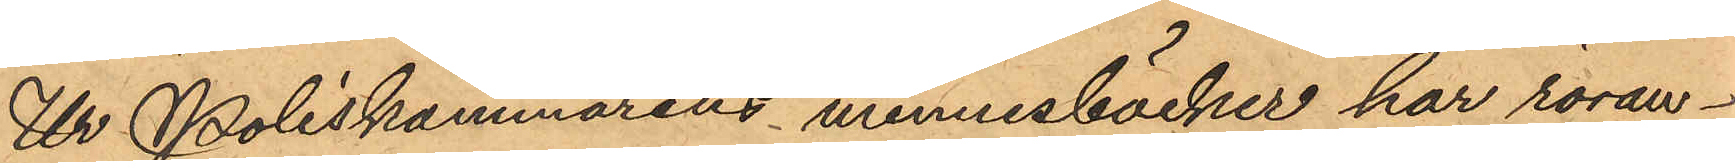Ur Poliskammarens minnesböcker har röran¬
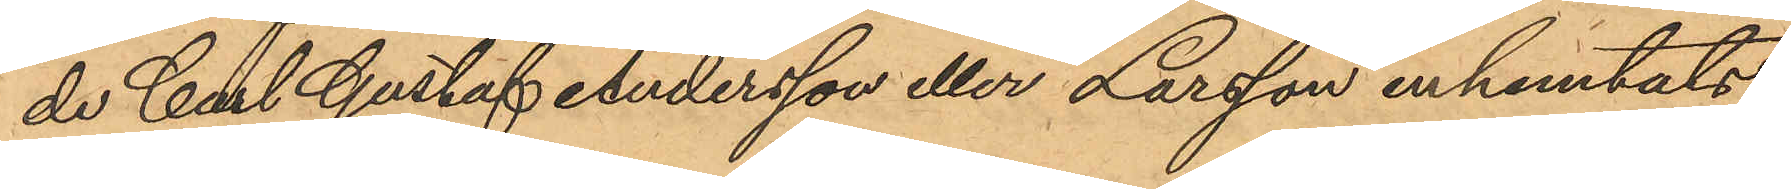de Carl Gustaf Andersson eller Larsson inhemtats
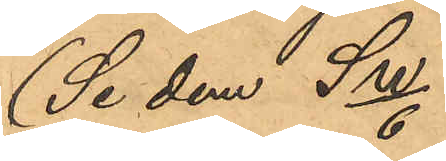(Se dem Sw/6)
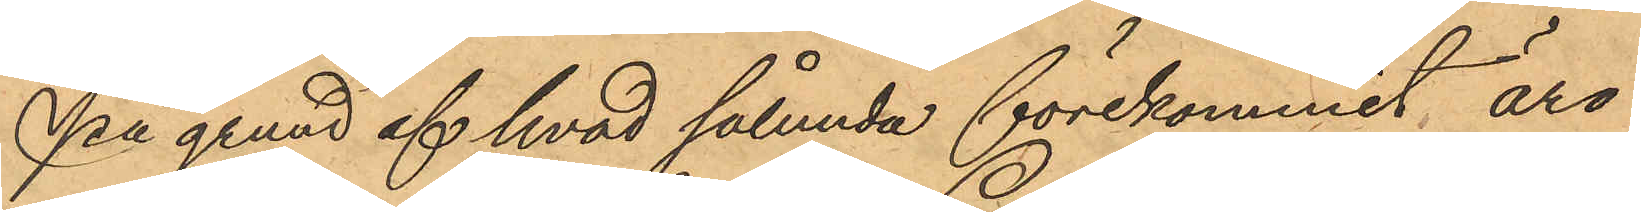På grund af hvad sålunda förekommit äro
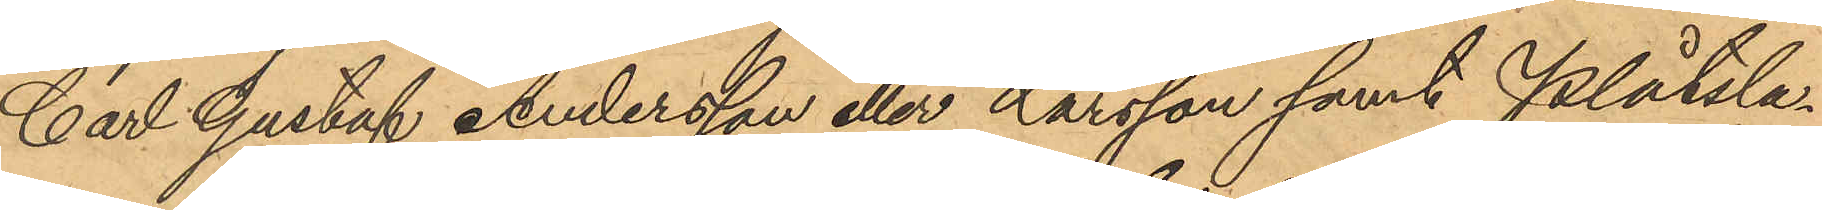Carl Gustaf Andersson eller Larsson samt Plåtsla¬
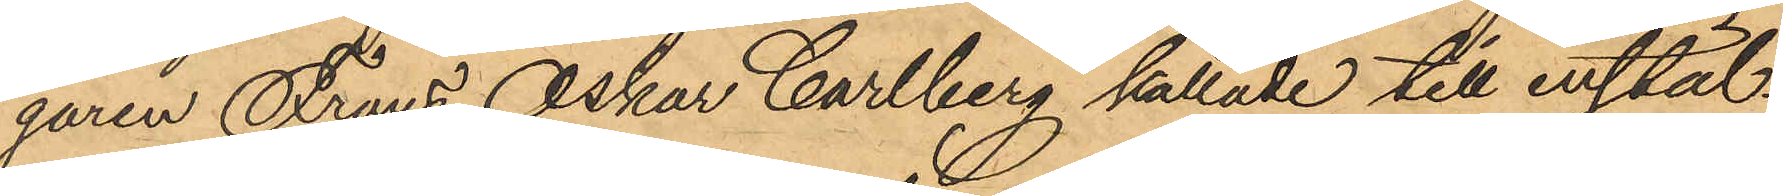garen Frans Oskar Carlberg kallade till instäl¬
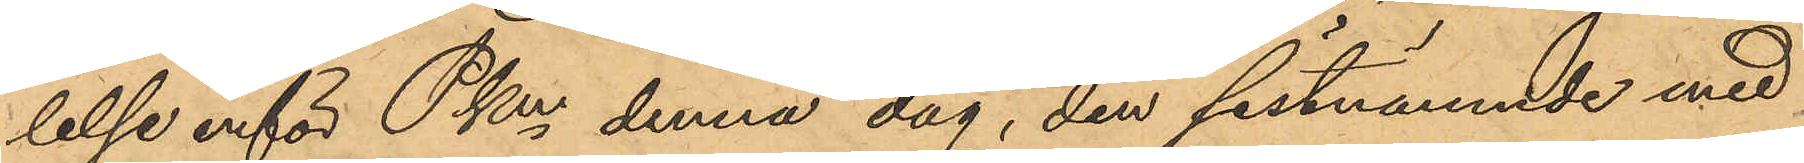lelse inför PKm denna dag, den sistnämnde med
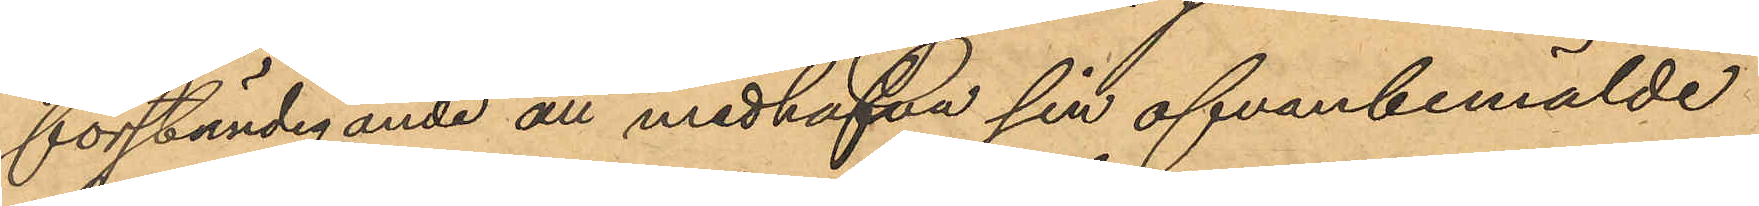förständigande att medhafva sin ofvanbemälde
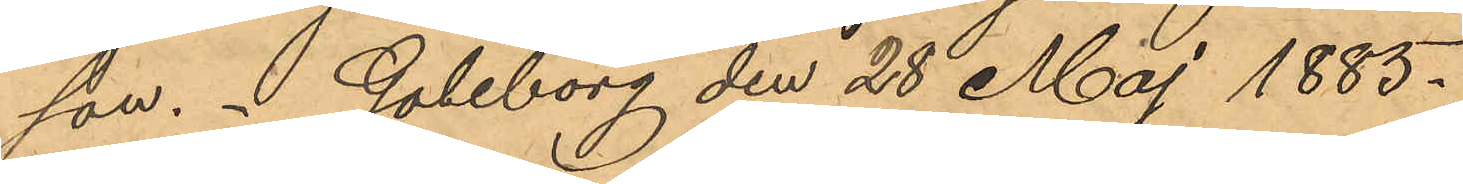son. Goteborg den 28 Maj 1885.
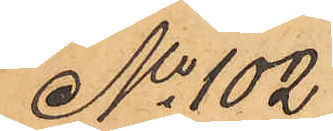No 102
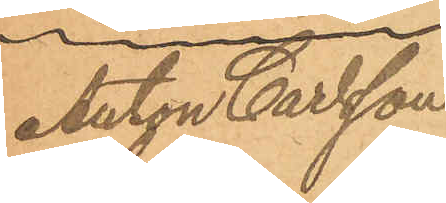Anton Carlson
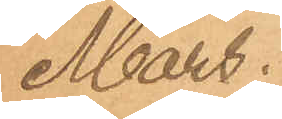Mars.
